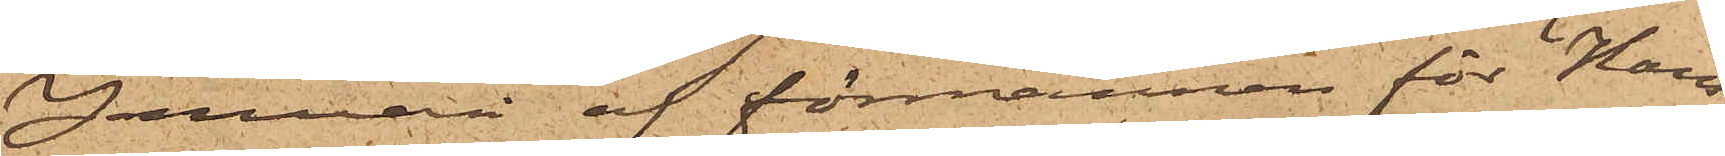Januari af förmannen för Hans¬
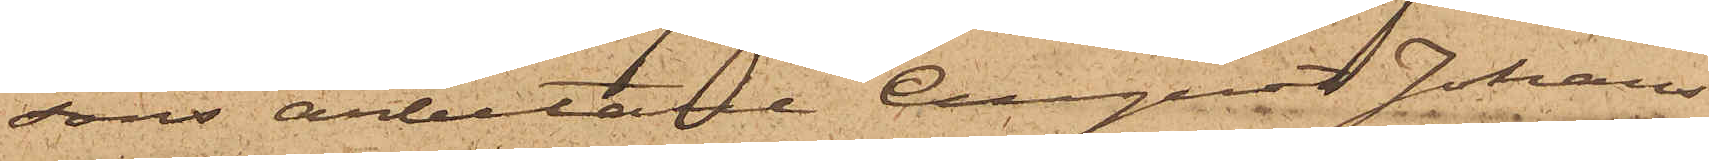sons arbetare August Johans¬
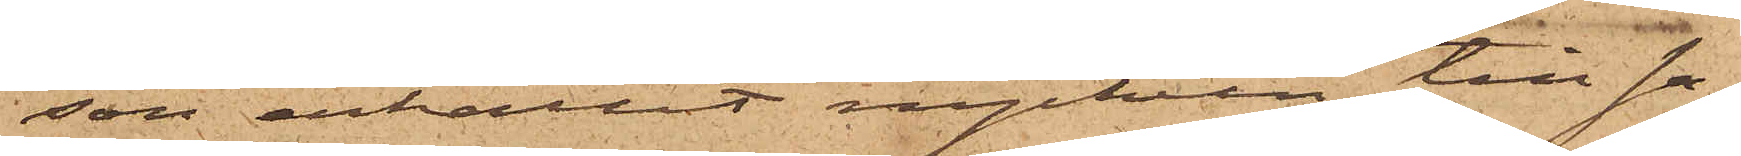son erhållit nyckeln till sa¬
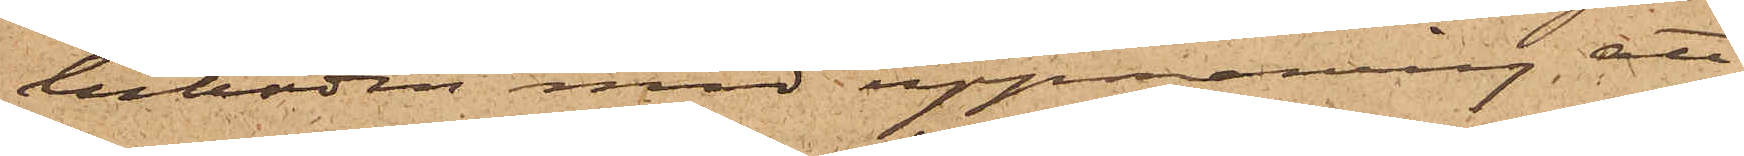luboden med uppmaning att
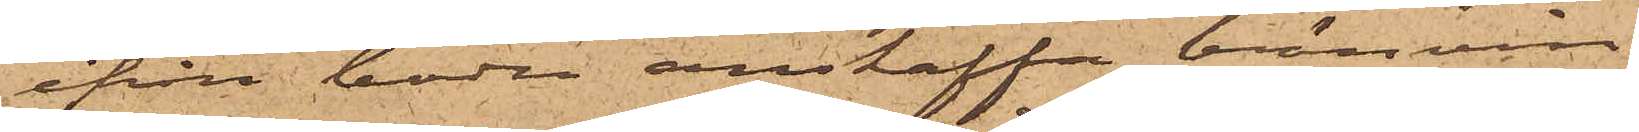ifrån boden anskaffa bränvin;
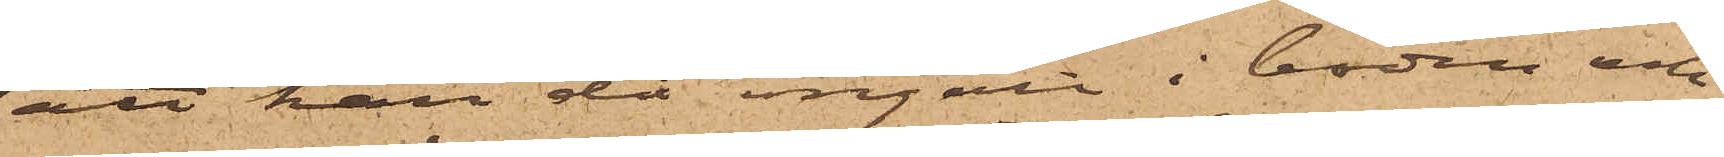att han då ingått i boden och
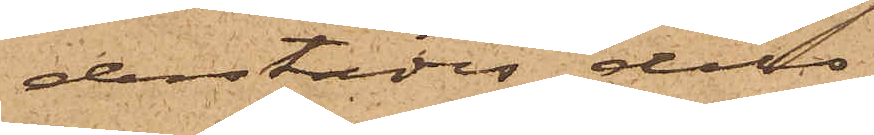derstädes dels
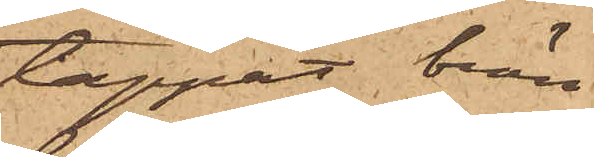tappat brän¬
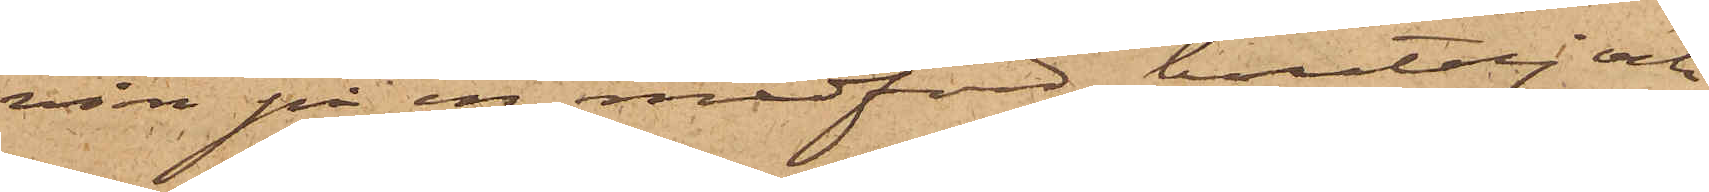vin på en medförd butelj och
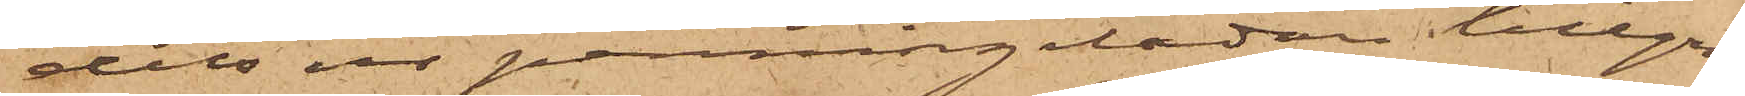dels ur penningelådan tillgri¬
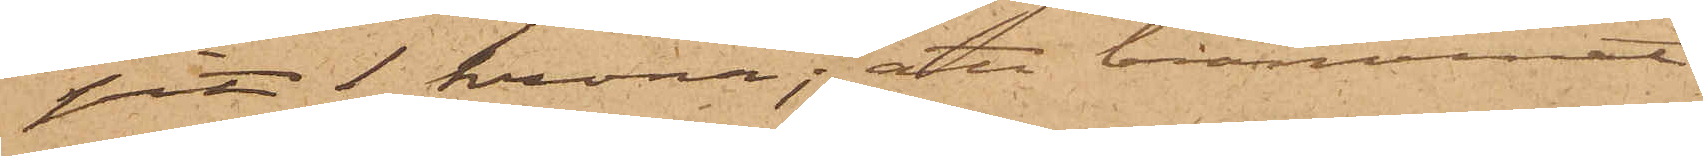pit 1 krona; att bränvinet
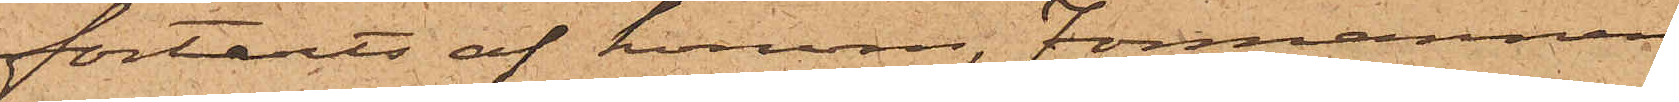förtärts af honom, Förmannen
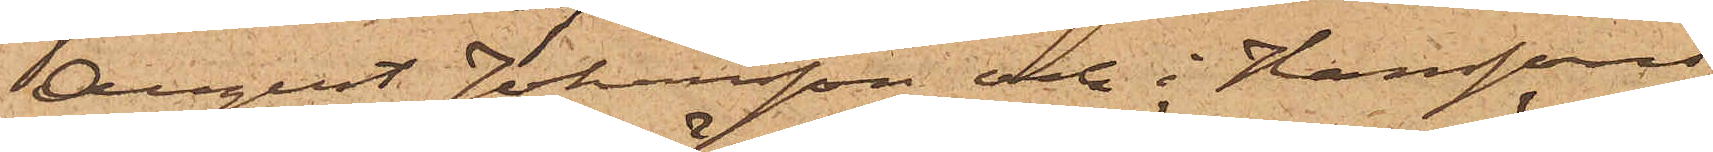August Johansson och i Hanssons
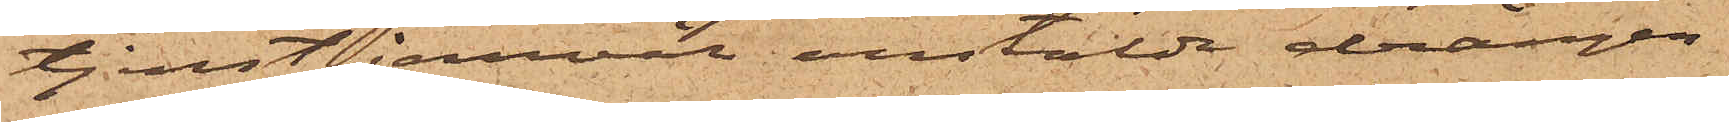tjenst jemväl anstälda drängen
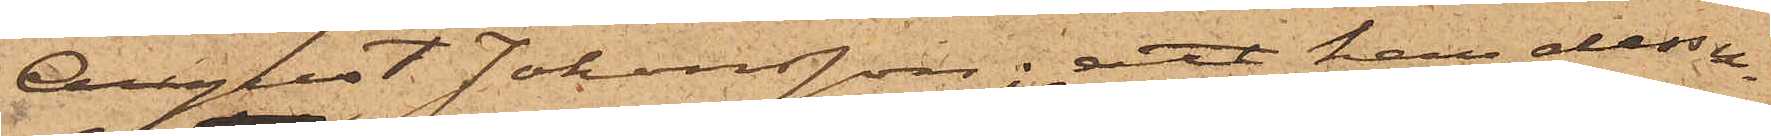August Johansson; att han dessu¬
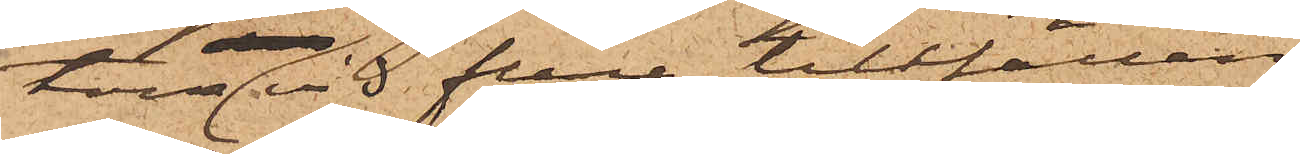tom vid flera tillfällen
